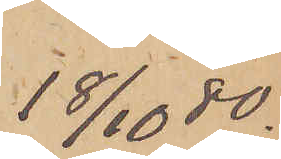18/10  80.
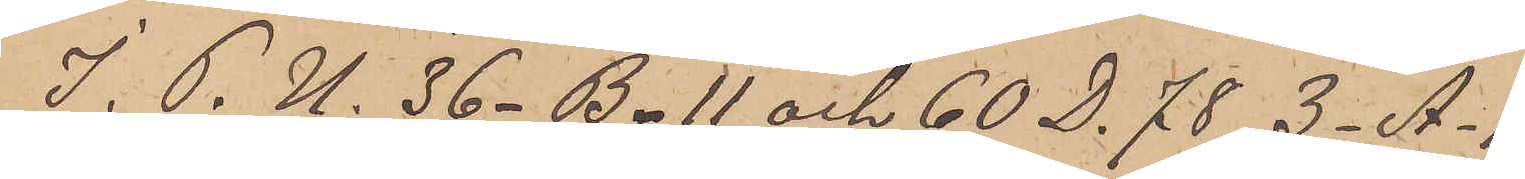I. P. U. 36_ B_ 11 och 60 D. 78, 3_ A_ 1,
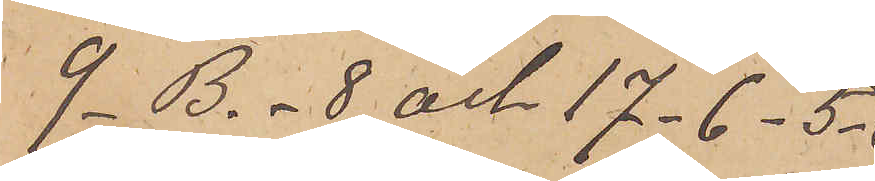9_ B._8 och 17_6_5_
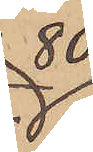80
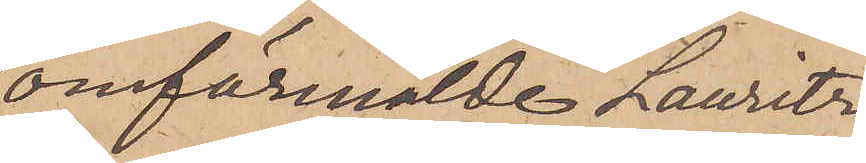omförmälde Lauritz
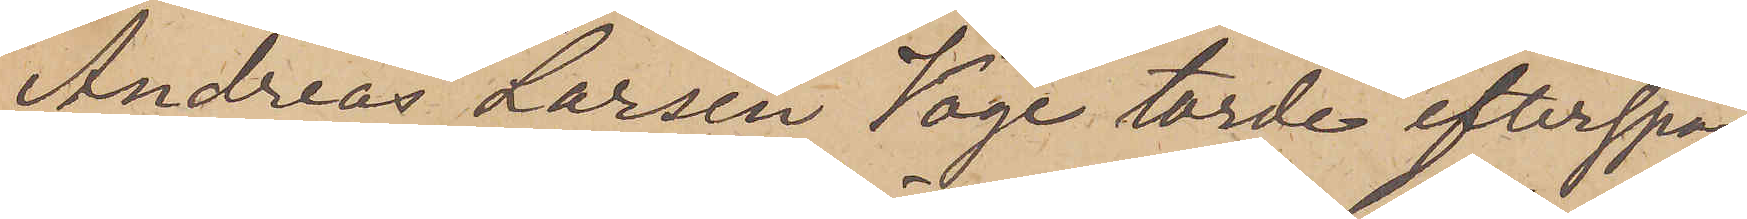Andreas Larsen Voge torde efterspa¬
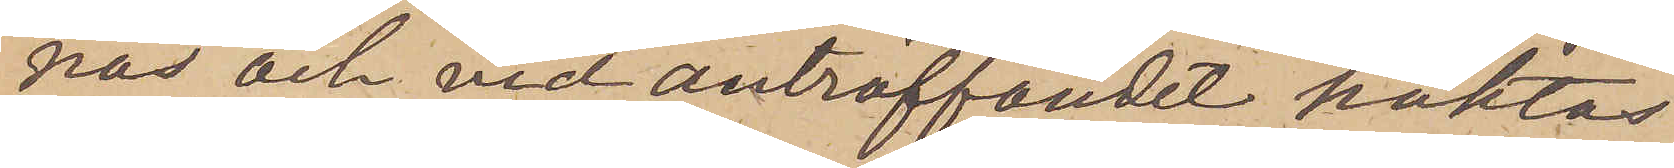nas och vid anträffandet häktas
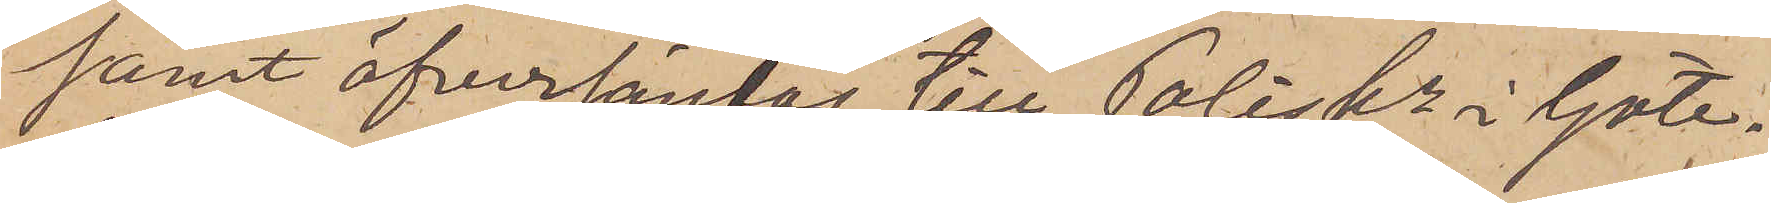samt öfversändas till Poliskn i Göte¬
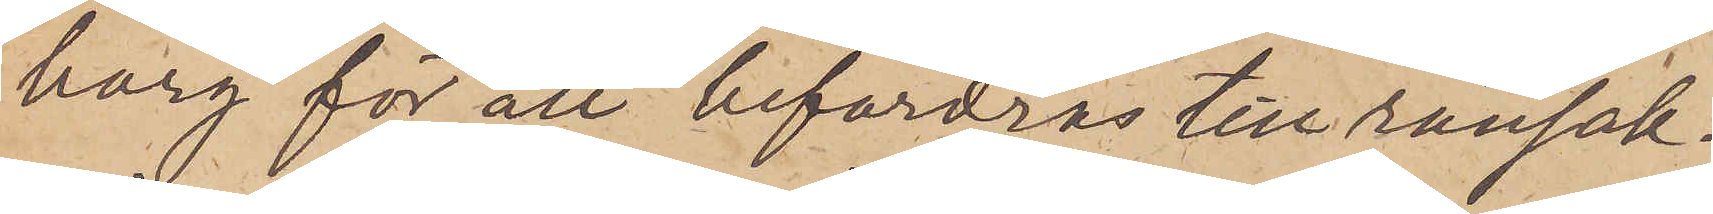borg för att befordras till ransak¬
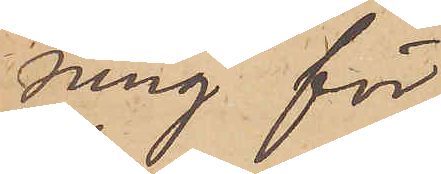ning för
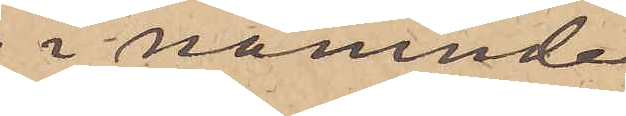i nämnde
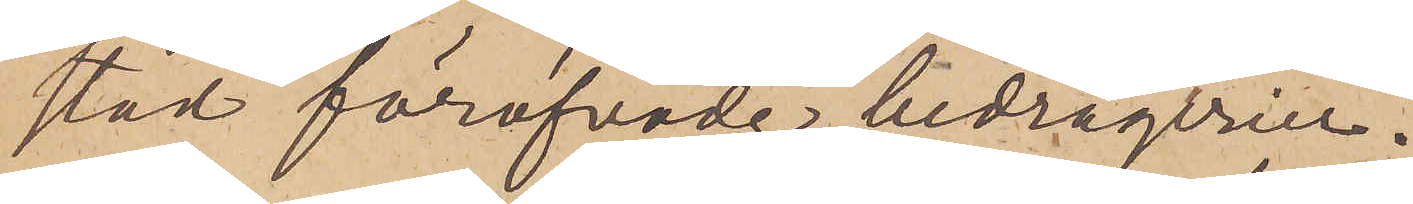stad föröfvade bedrägerier.
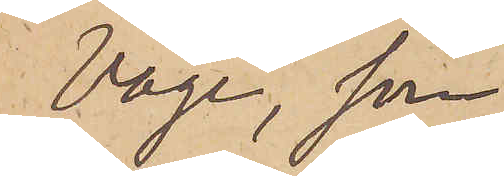Voge, som
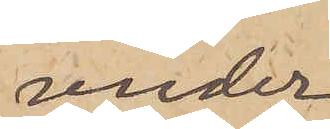under
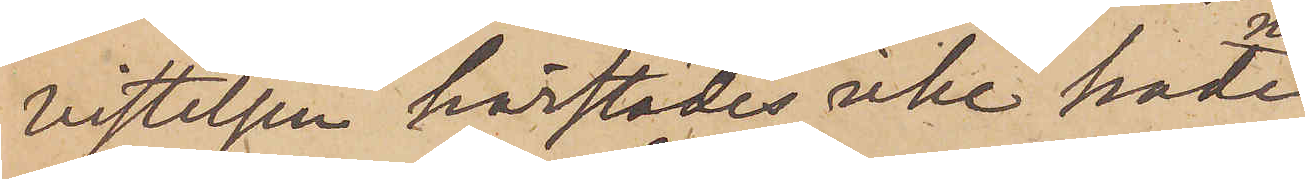vistelsen härstädes icke hade
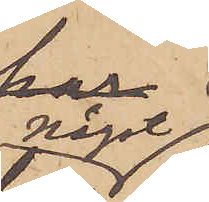något
